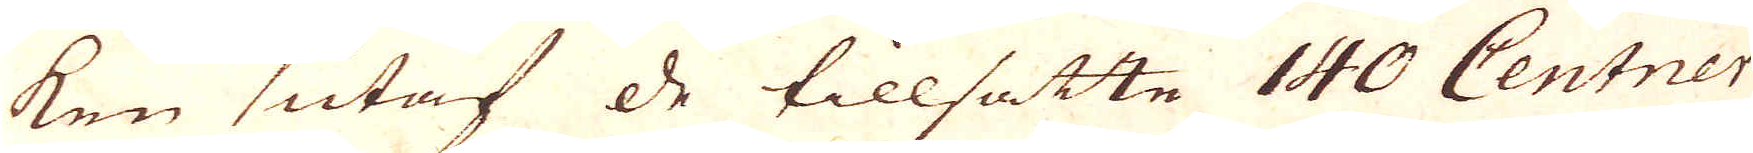ken utaf de tillsatte 140 Centner
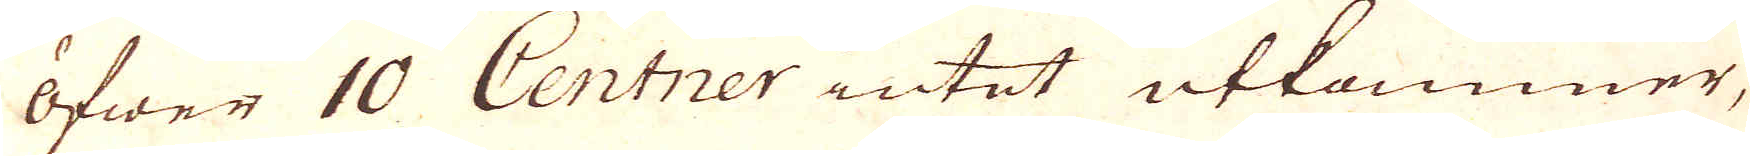öfwer 10 Centner intet utkommer,
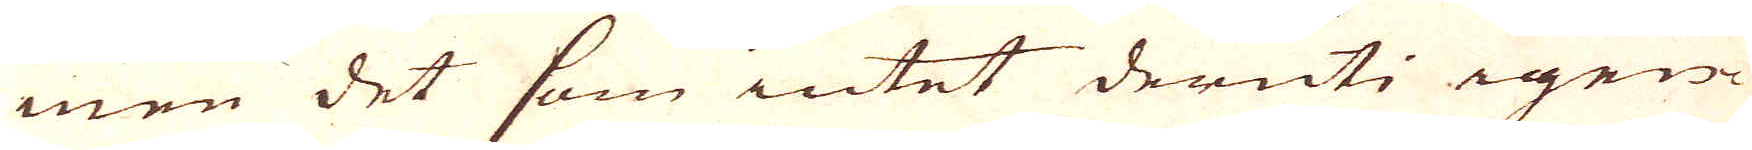men det som intet deruti igen
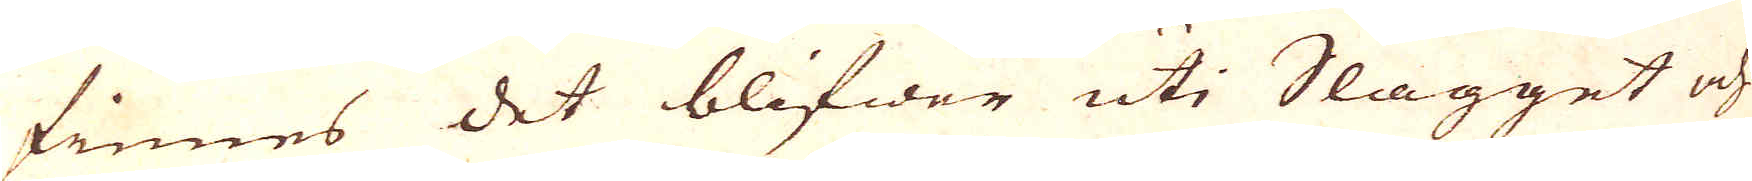finnes det blifwer uti Slagget och
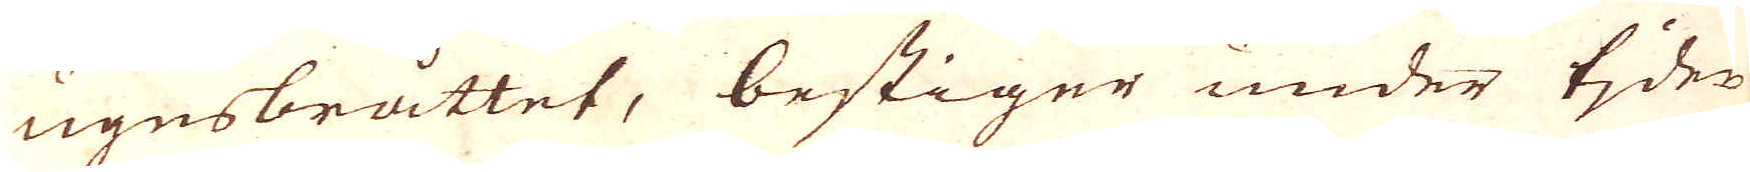ugnsbråttet, bestiger under tider
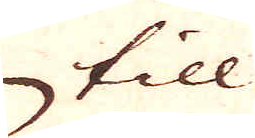till
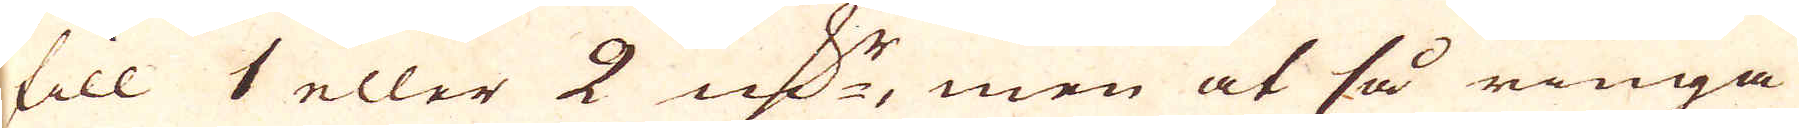till 1 eller 2 qv:r, men at så ringa
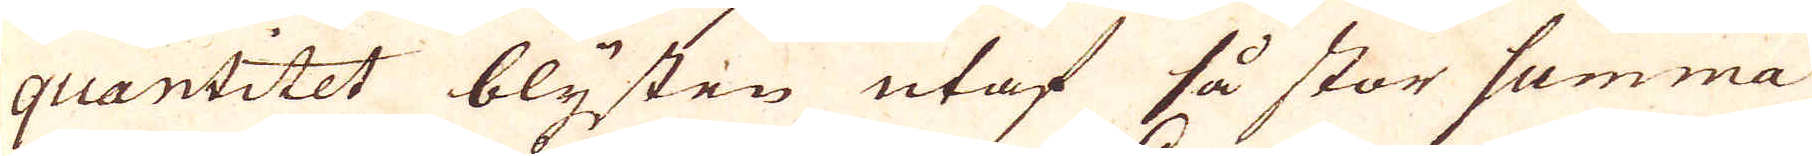quantitet blysten utaf så stor summa
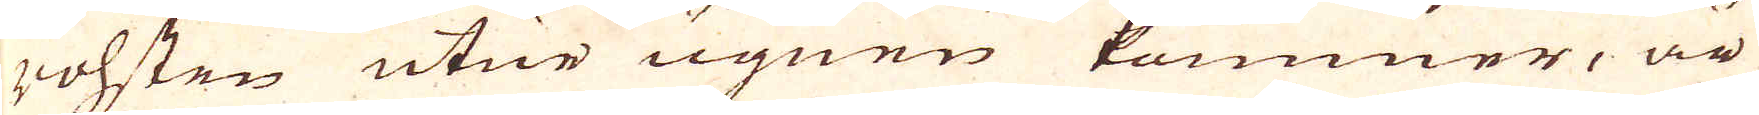rohsten utur ugnen kommer, är
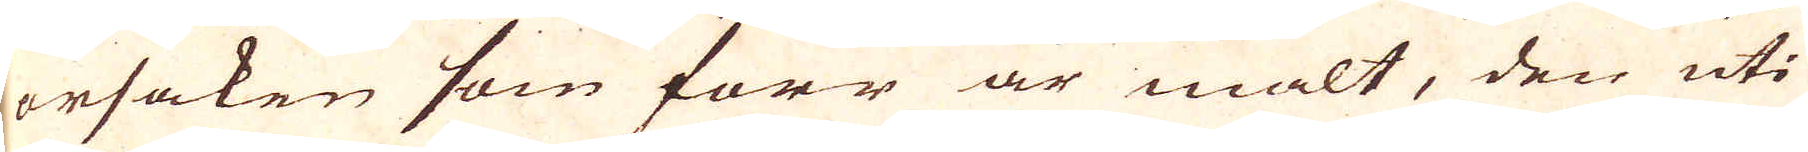orsaken som förr är mält, den uti
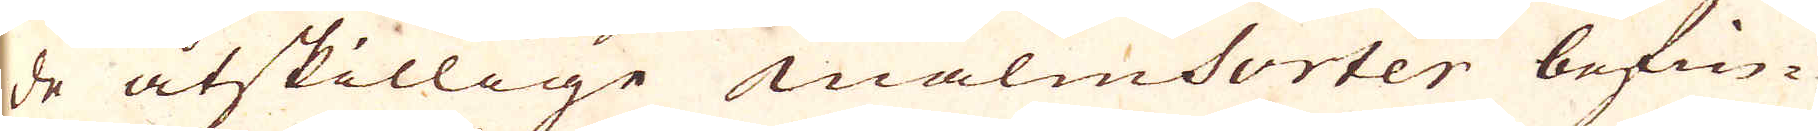de åtskillige malmsorter befin-
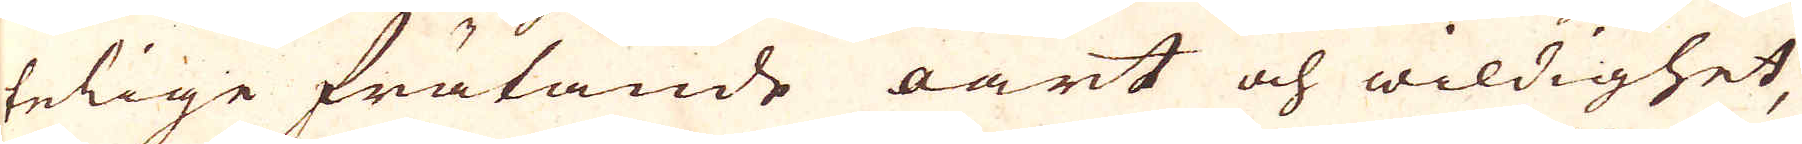telige frätande oart och wildighet,
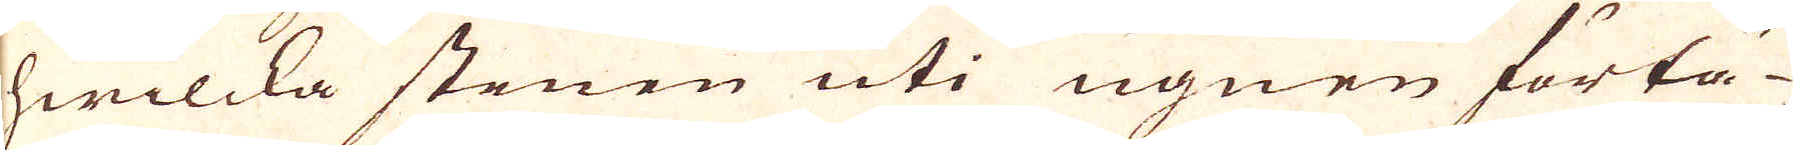hwilcka stenen uti ugnen förtä-
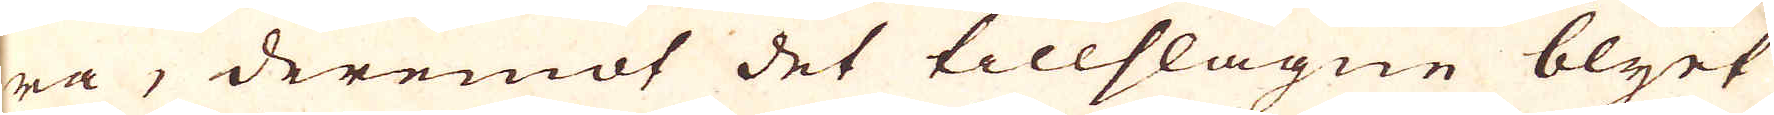ra, deremot det tillslagne blyet
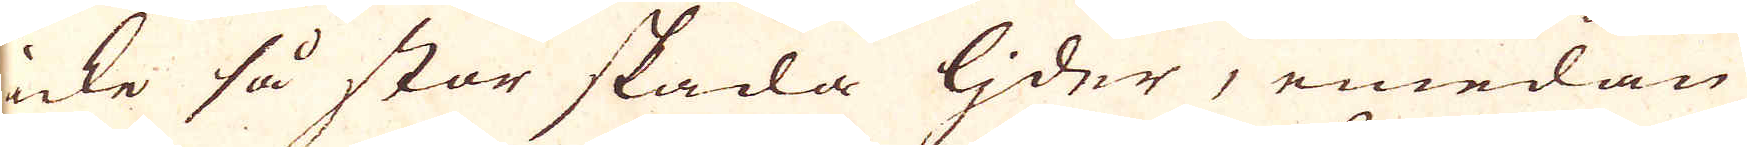icke så stor skada ljder, emedan
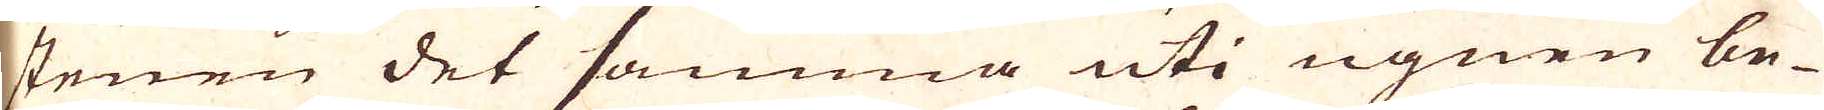stenen det samma uti ugnen be-
